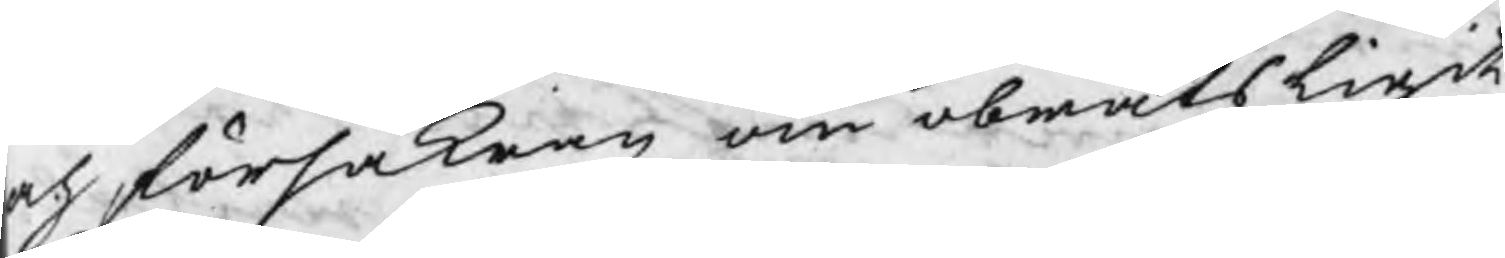och försäkran om obråtsligit
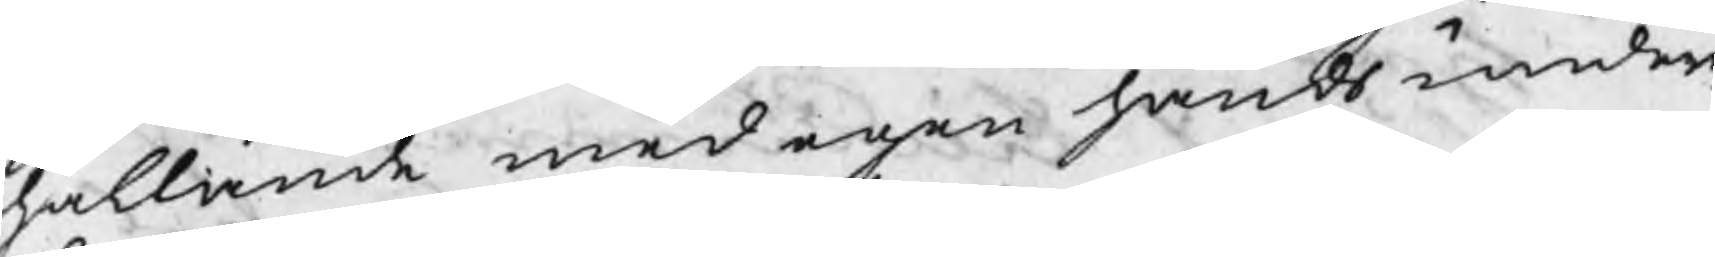hållande med egen hands under¬
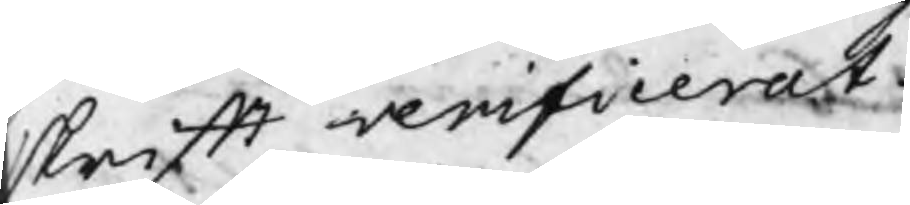skrift verifierat.
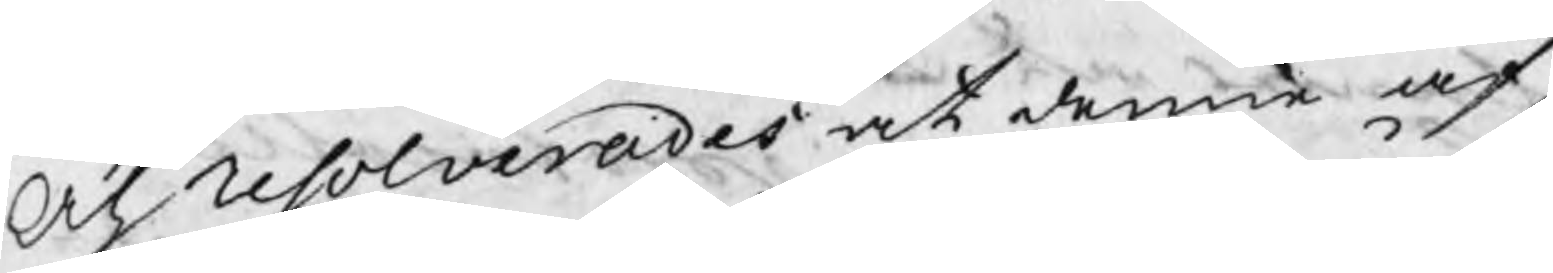Och resolverades at denne af
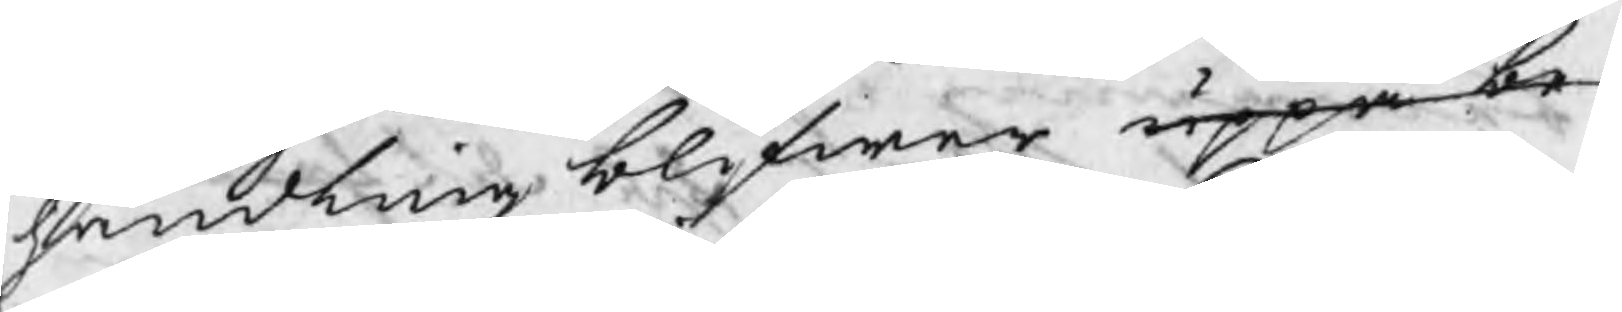handling blifwer uppå be¬
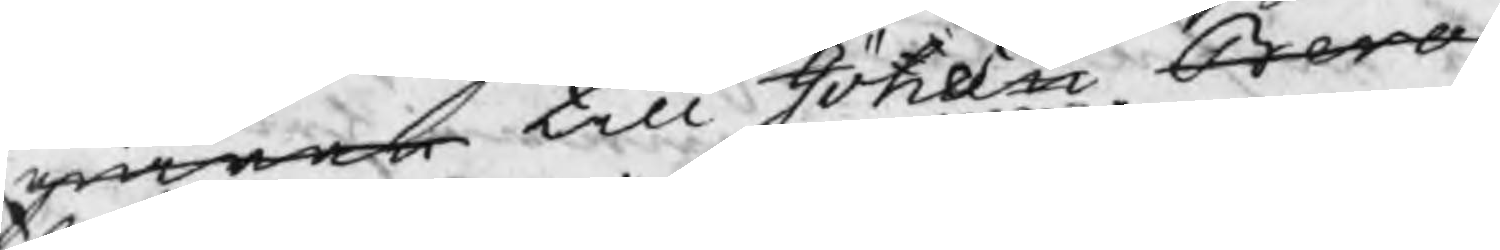giäran till Jöns Bero
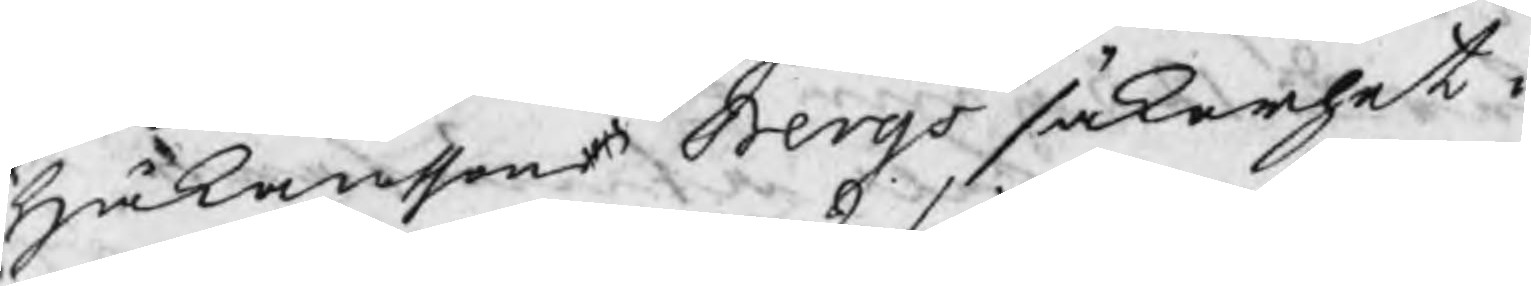Håkansson Bergs säkerhet i
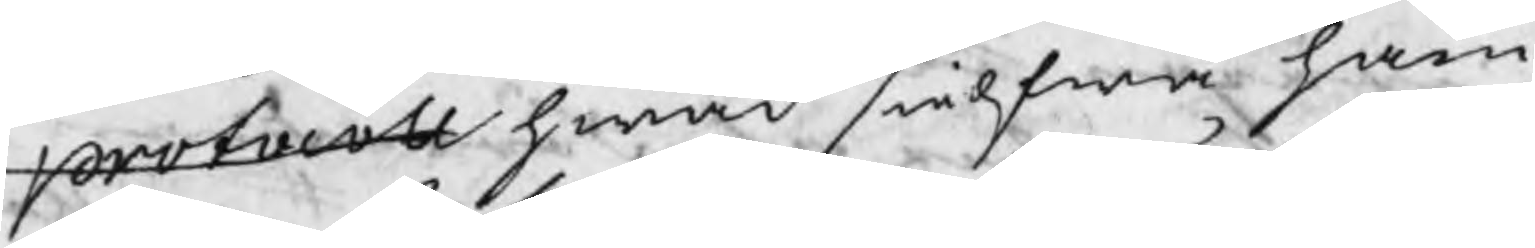protocoll hwad sielfwa ham¬
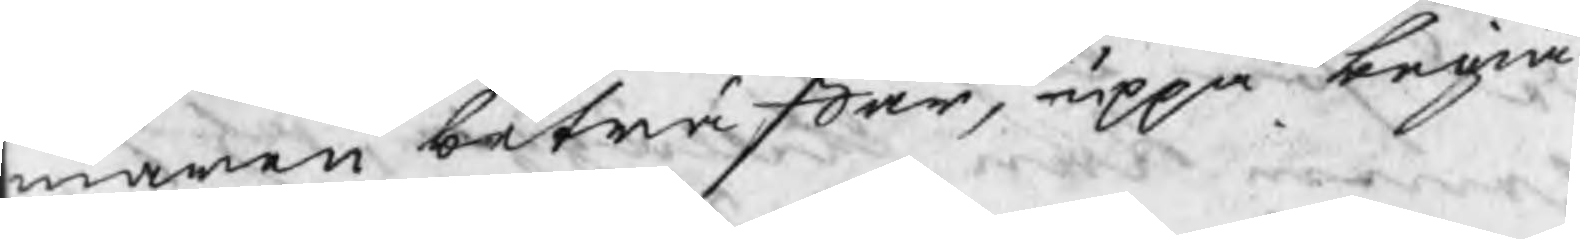maren beträffar, uppå begiä¬
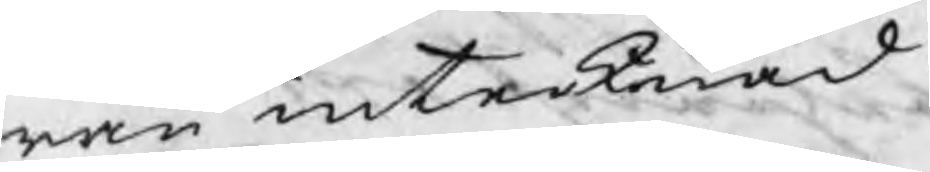ran intecknad.
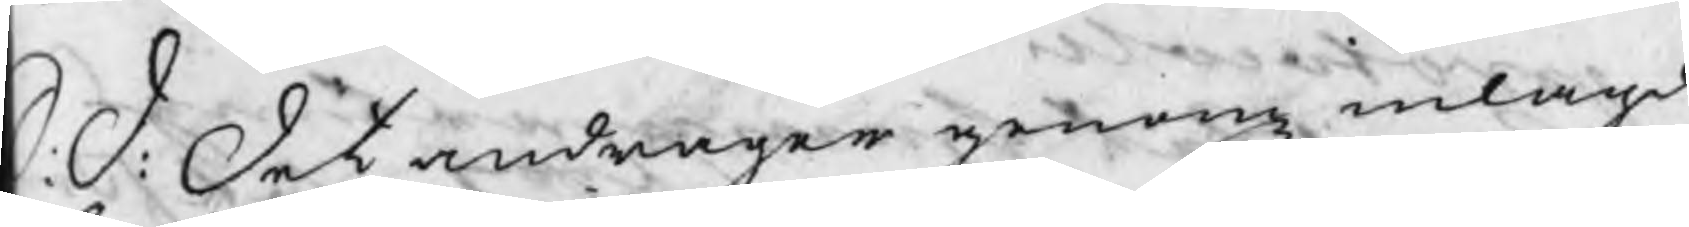S: D: Det andrager genom inlagd
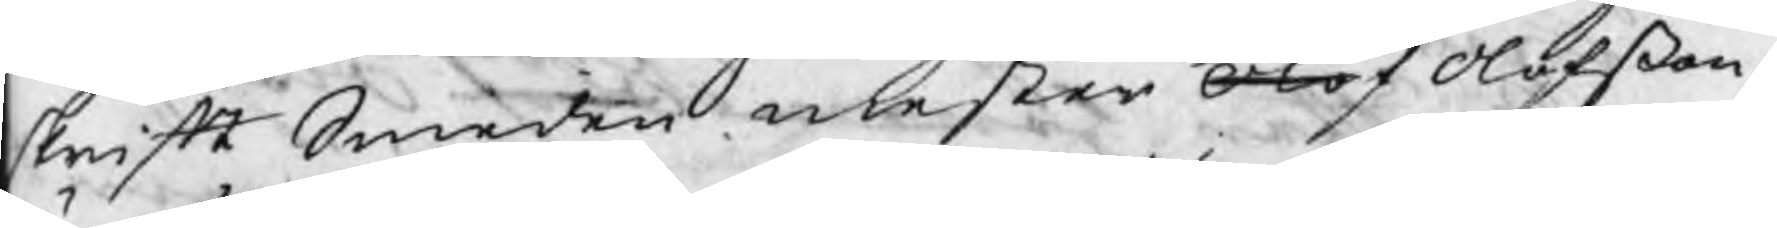skrift Smeden mester Olof Olofßon,
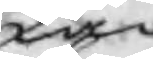Jan
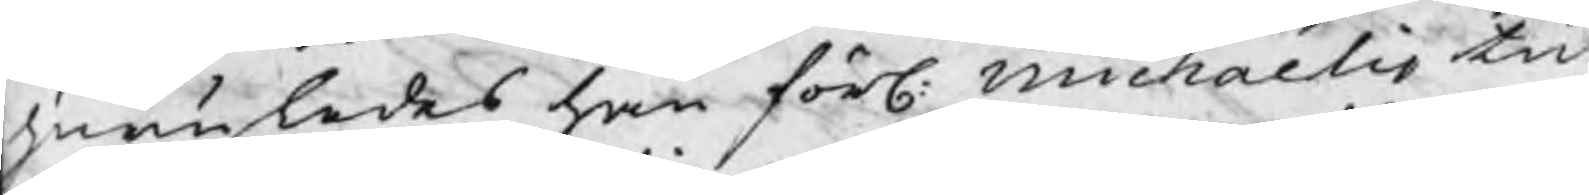huruledes han förl. Michaelis tid
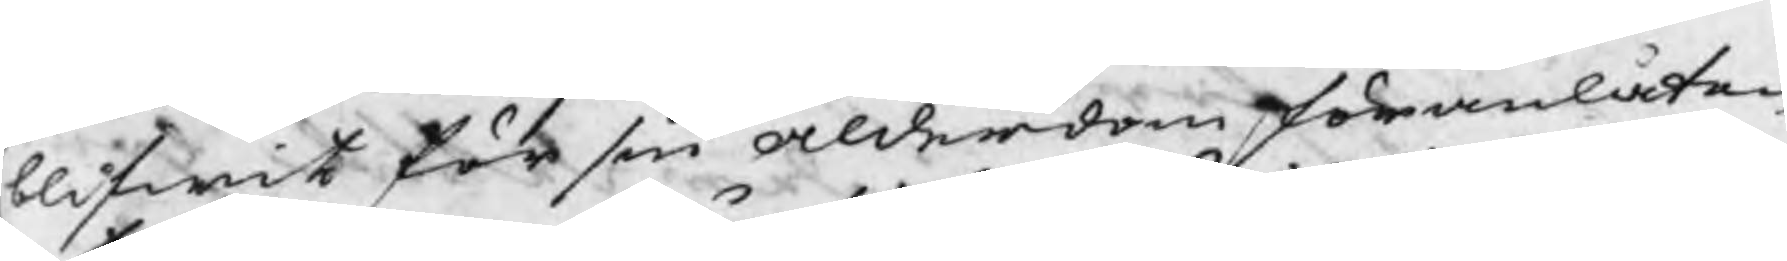blifwit för sin alderdom föranlåten
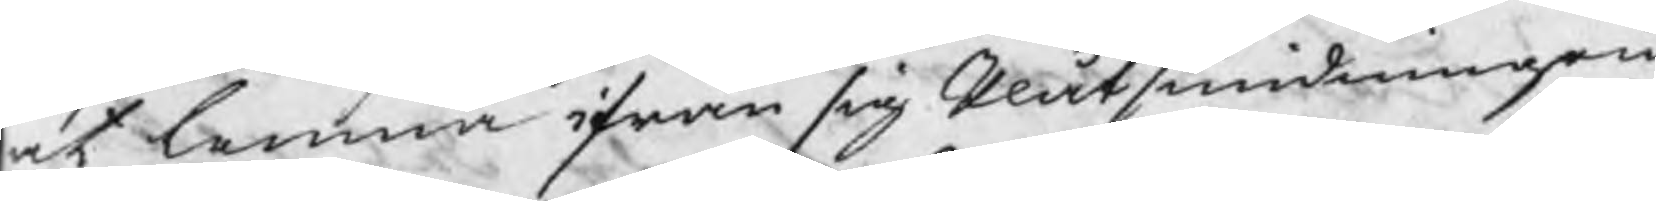at lemna ifrån sig Plåtsmidningen
